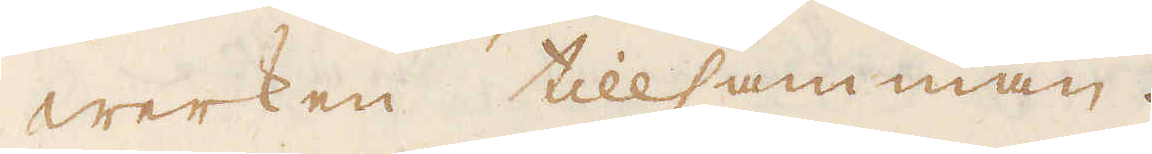werken tillsamman.
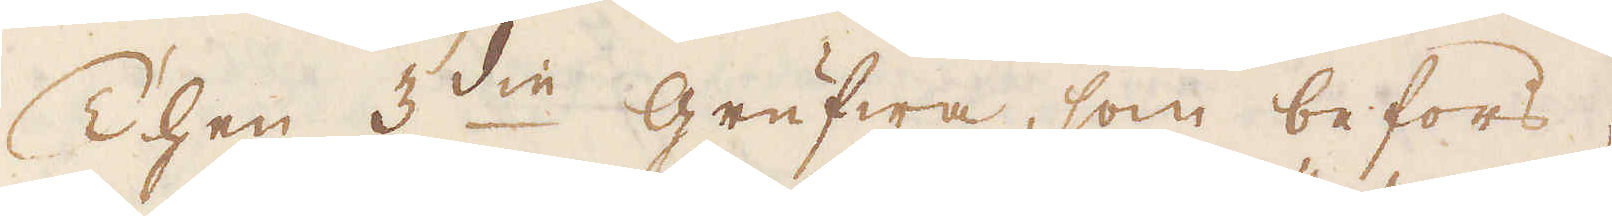Then 3:die grufwa, som befors,
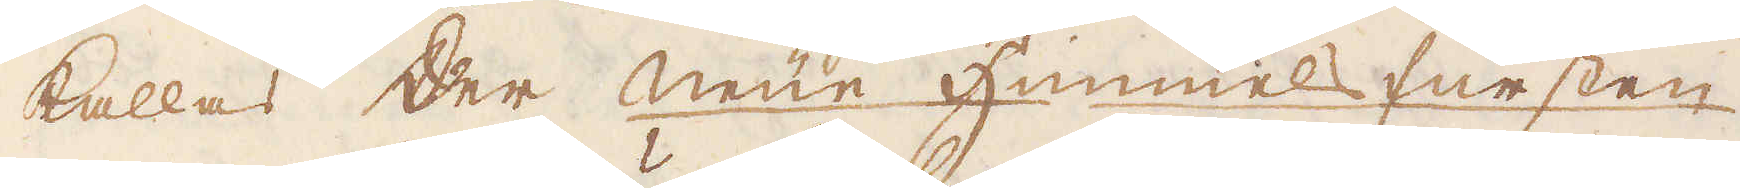kallas der Neüe Himmels fürsten,
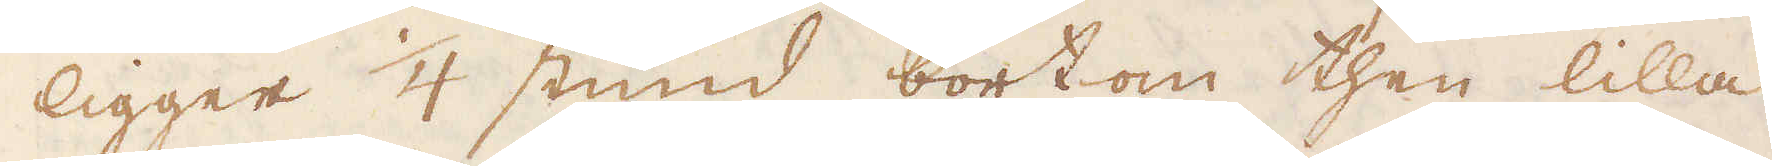ligger 1/4 stund bortom then lilla
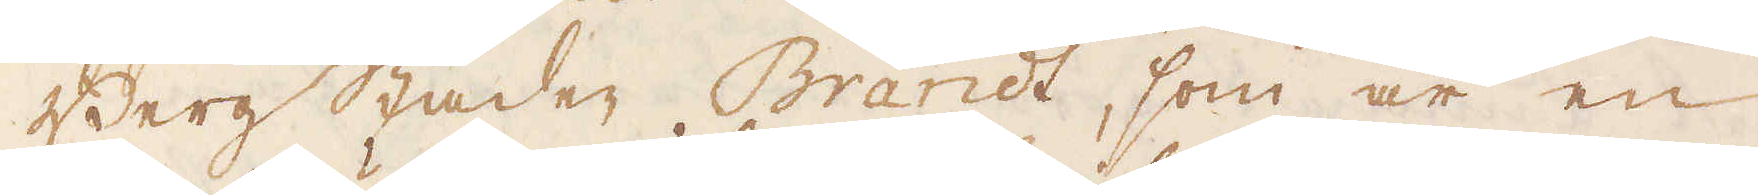Bergstaden Brandt, som är en
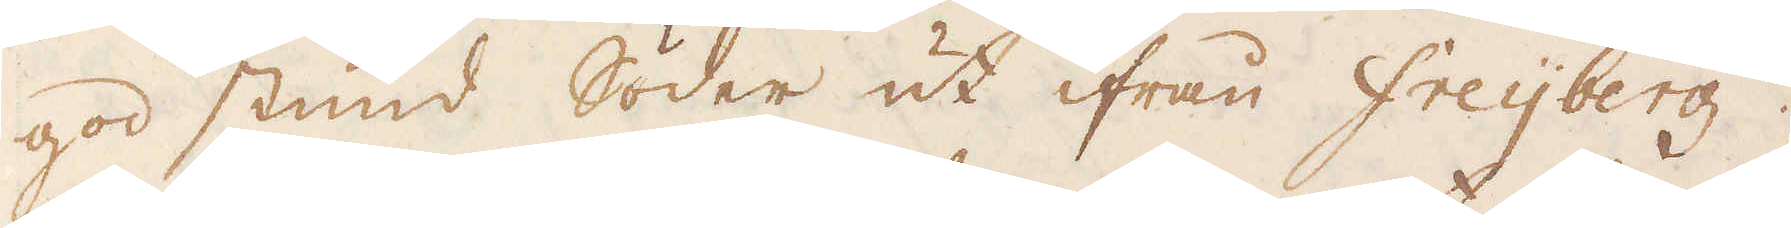god stund Söder ut ifrån Freijberg.
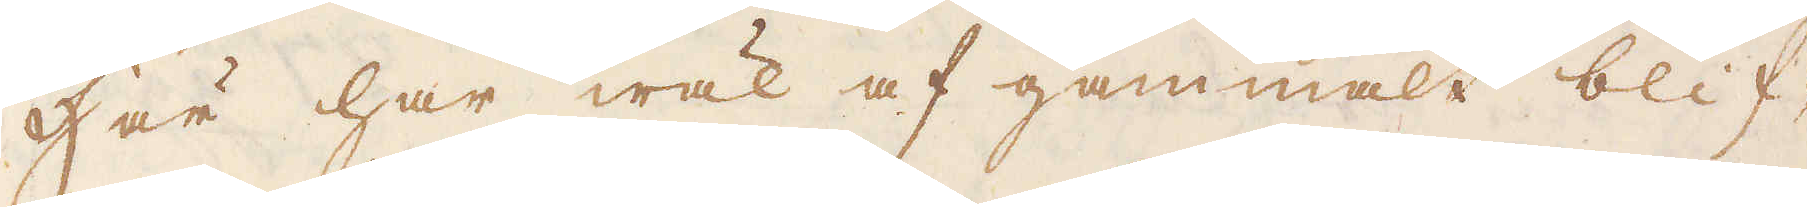Här har wäl af gammalt blif-
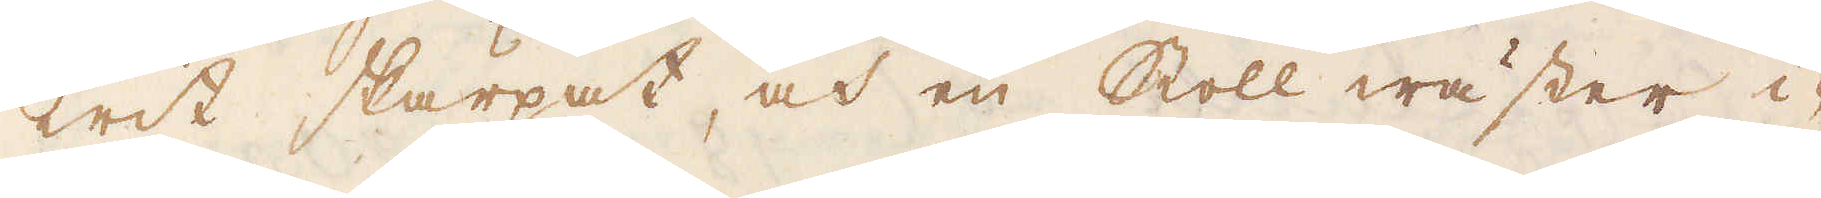wit skärpat, och en Stoll wäster i-
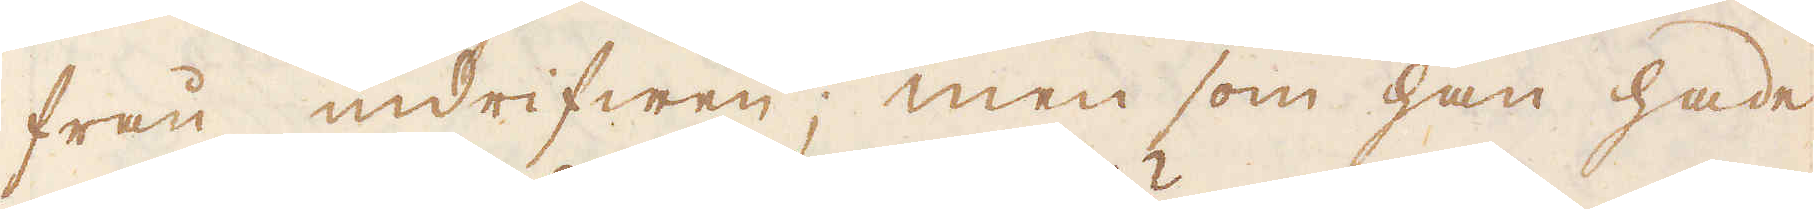från indrifwen; men som han hade
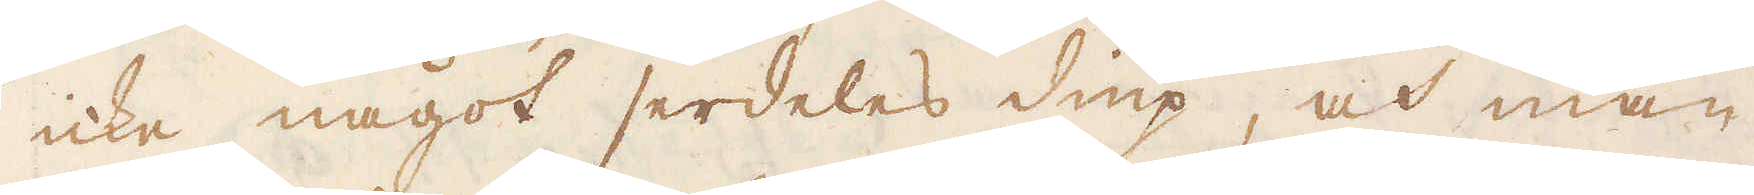icke något serdeles diup, och man
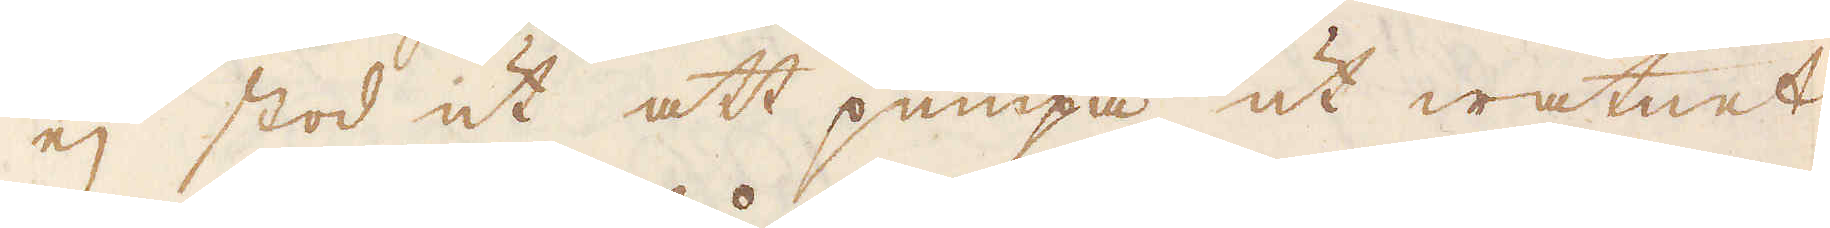ej stod ut att pumpa ut watnet
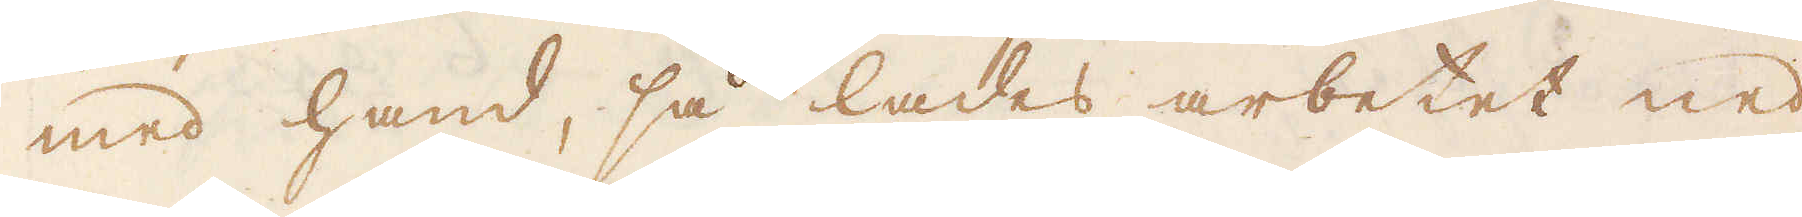med hand, så lades arbetet ned,
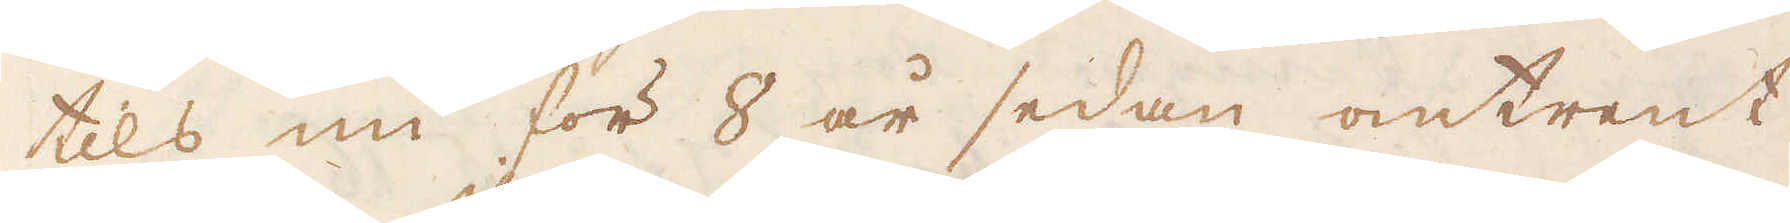tils nu för 8 år sedan omtrent
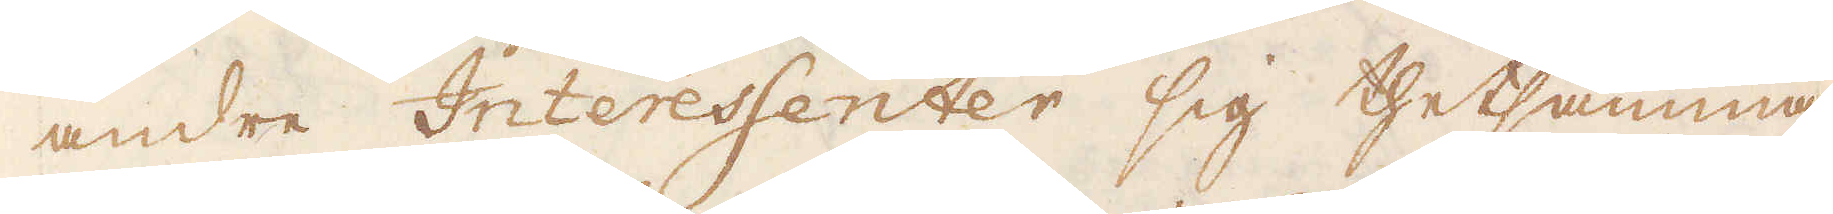andre Interessenter sig thetsamma
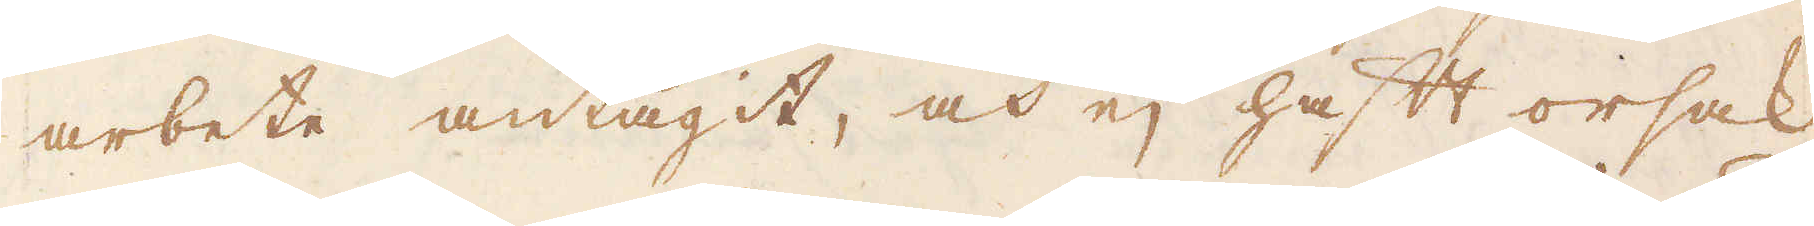arbete antagit, och ej haft orsak
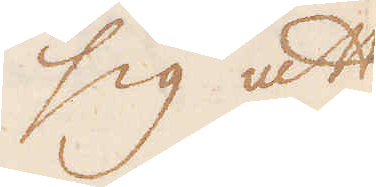sig att
